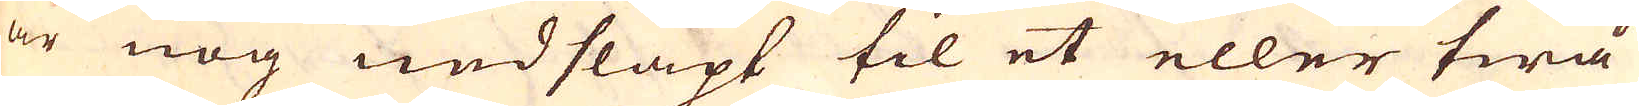är nog nedsläpt til et eller twå
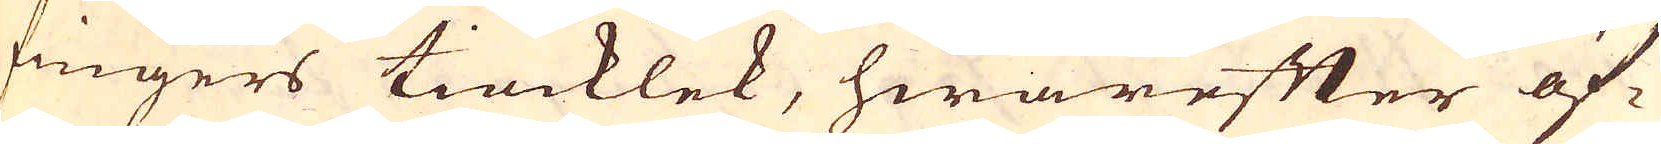fingers tiocklek, hwarefter öf-
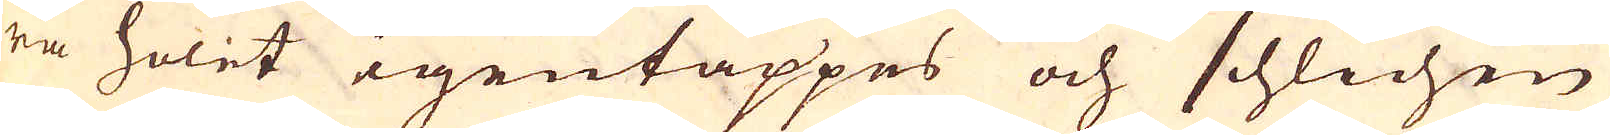ra holet igentäppes och schlichen
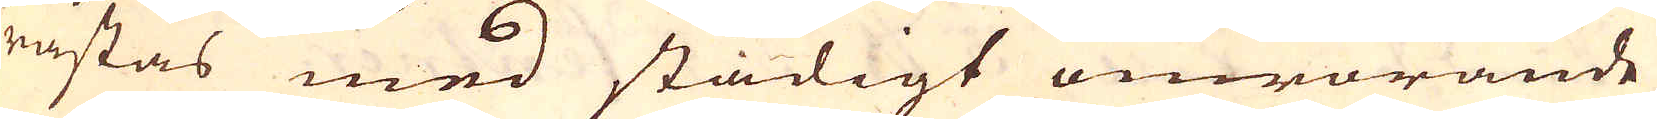råstas med stadigt omrörande
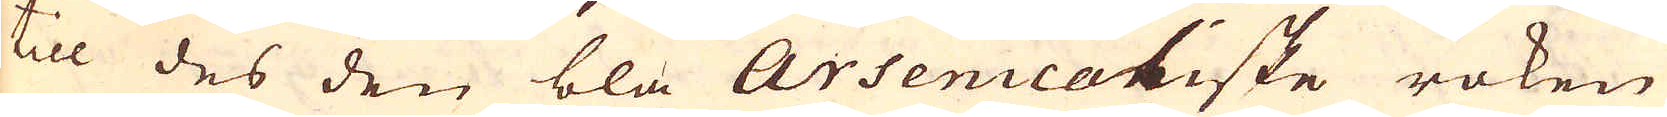till des den bla Arsenicatiske röken
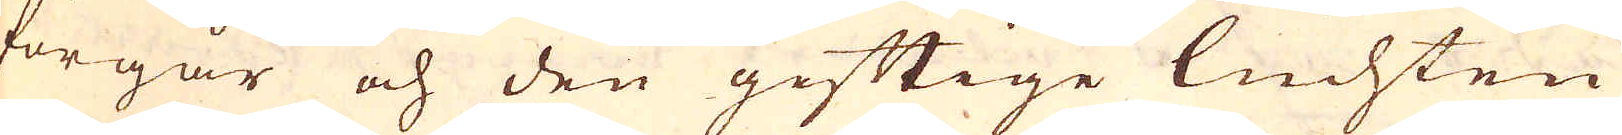förgår och den giftige luchten
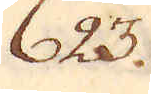623.
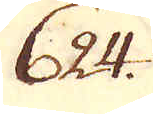624.
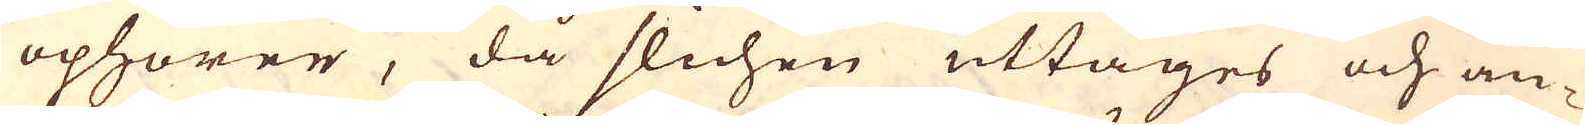öphörer, då slichen uttages och an-
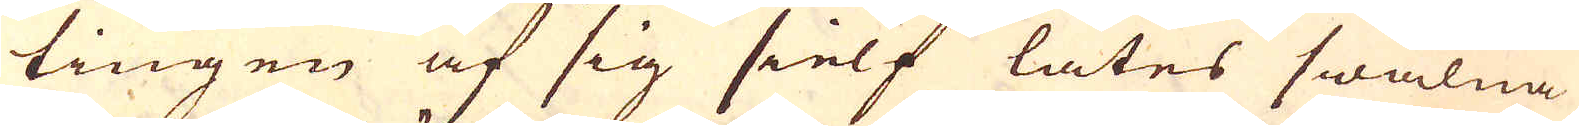tingen af sig sielf låtes swalna
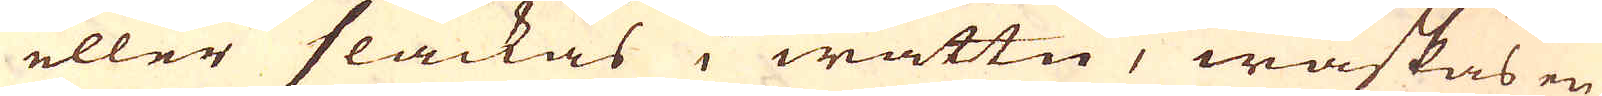eller släckas i wattn, waskas en
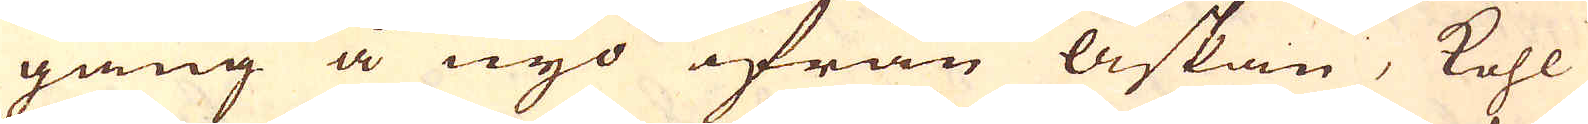gång å nyo ifrån askan, kohl
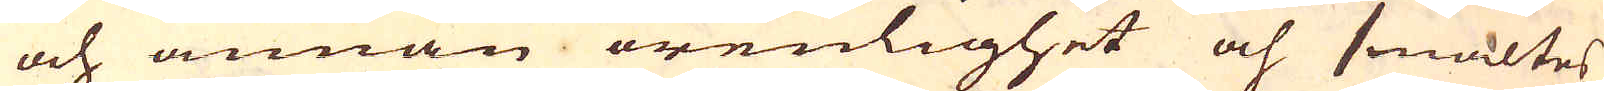och annan orenlighet och smältes
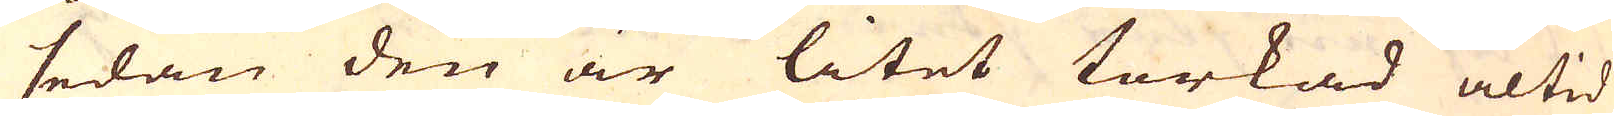sedan den är litet torkad altid
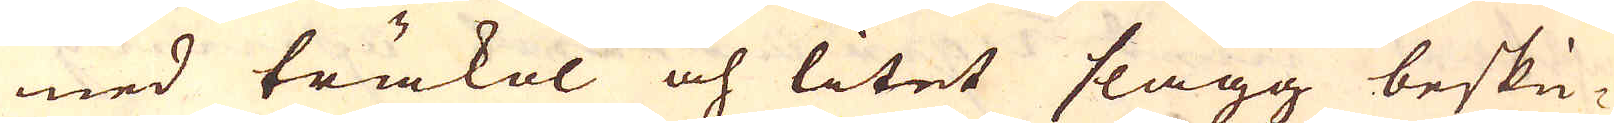med träkol och litet slagg beskic-
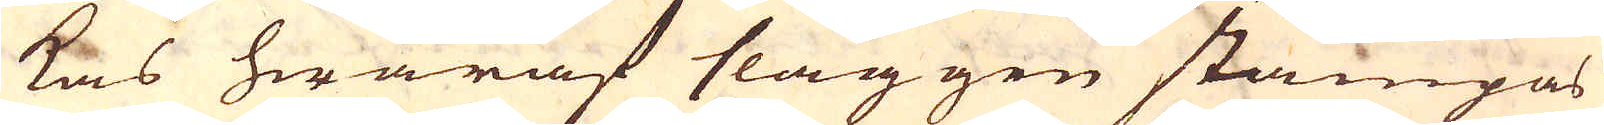kas hwaraf slaggen stampas
